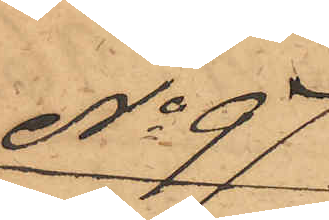No 97
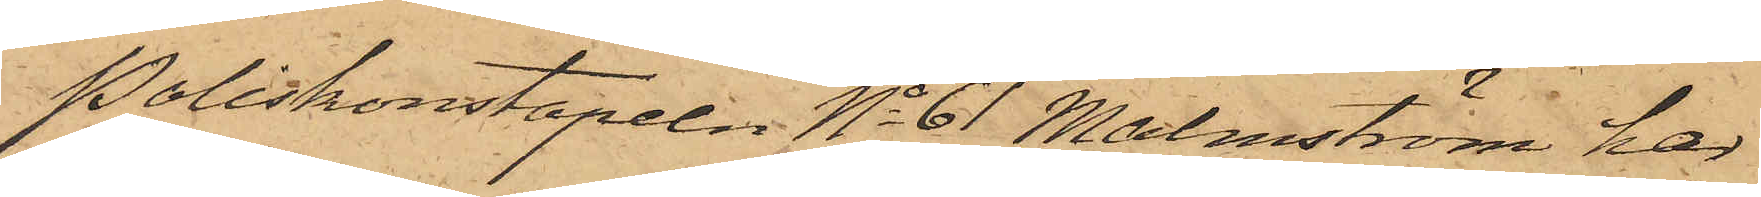Poliskonstapeln No 61 Malmström har
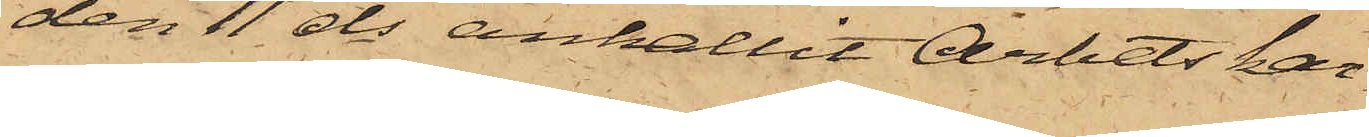den 11 ds anhållit Arbetskar¬
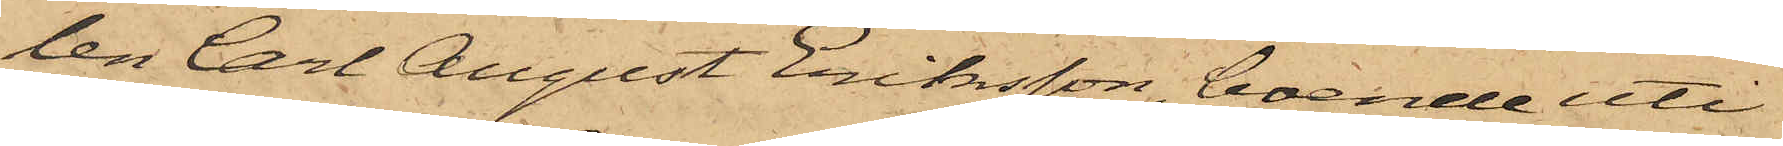len Carl August Eriksson, boende uti
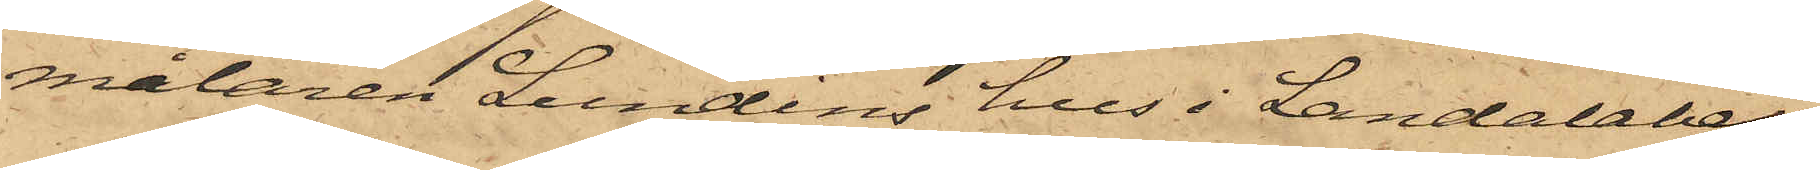målaren Lundins hus i Landalaber¬
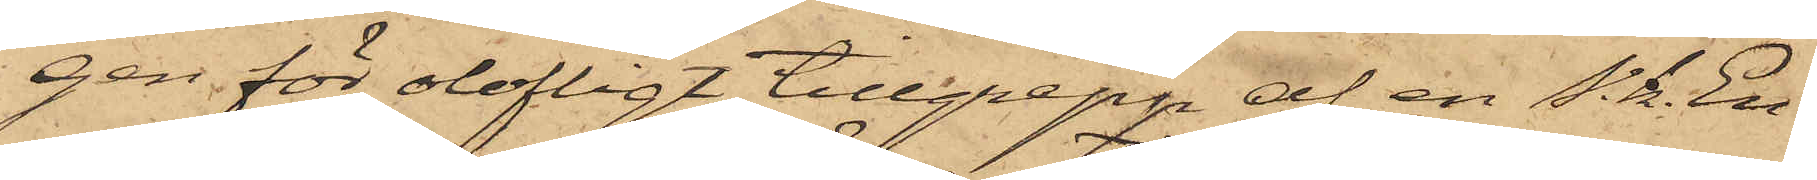gen för olofligt tillgrepp af en s. k. En¬
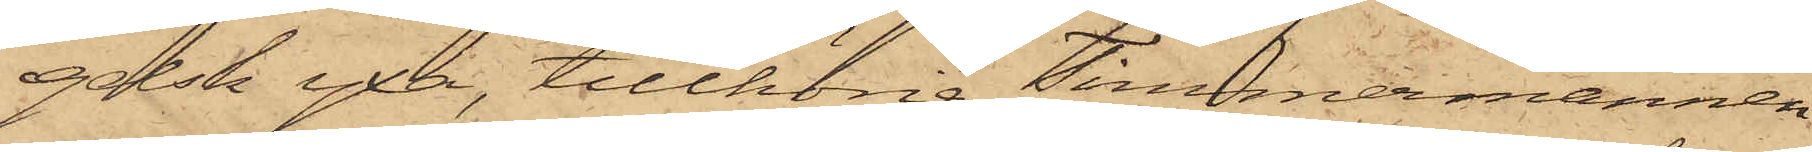gelsk yxa, tillhörig Timmermannen
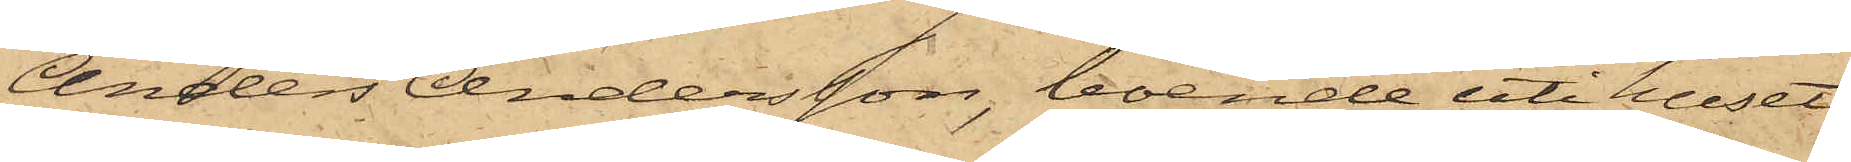Anders Andersson, boende uti huset
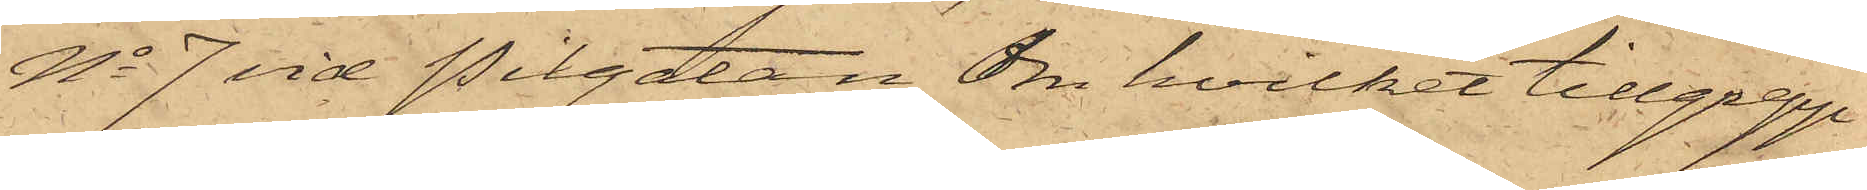No 7 vid Pilgatan, Om hvilket tillgrepp
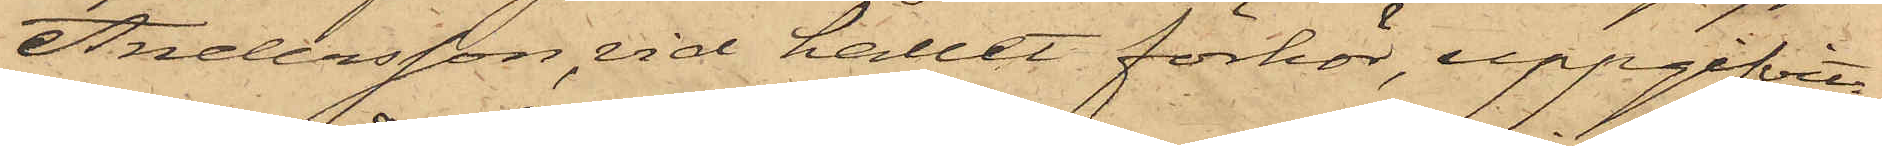Andersson, vid hållet förhör, uppgifvit:
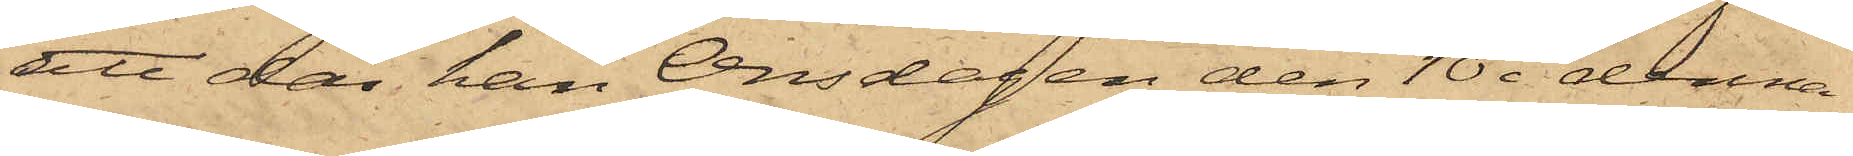att då han Onsdagen den 10 i denna
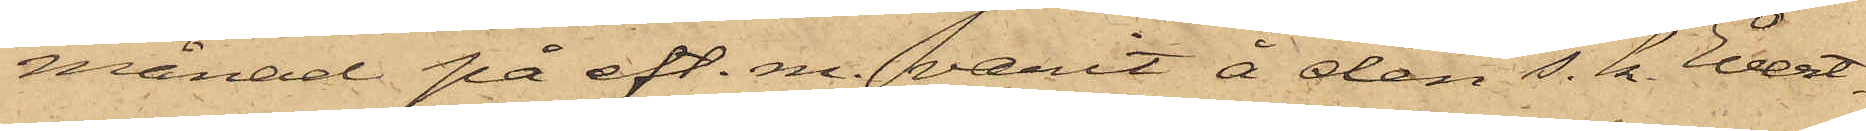månad på eft. m. varit å den s. k. Evert¬
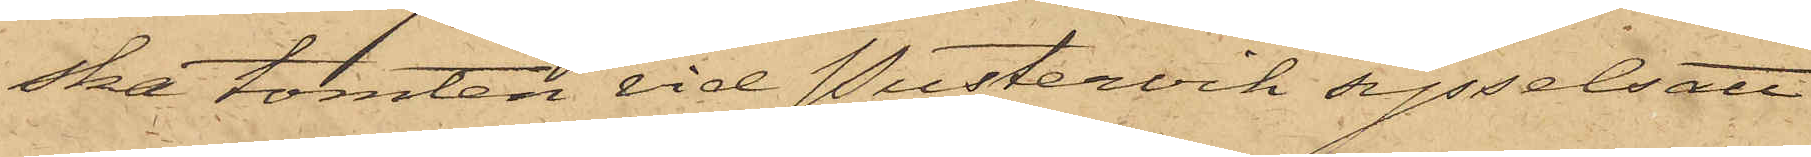ska tomten vid Pustervik sysselsatt
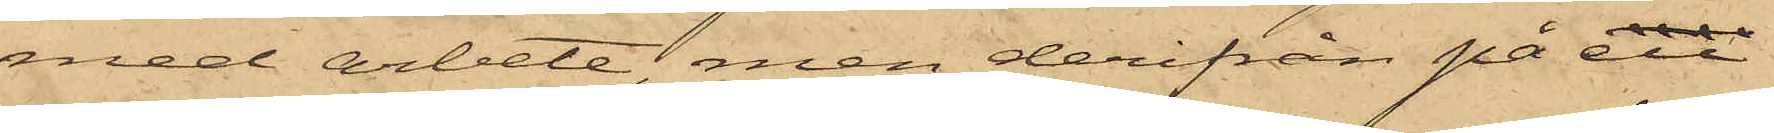med arbete, men derifrån på en
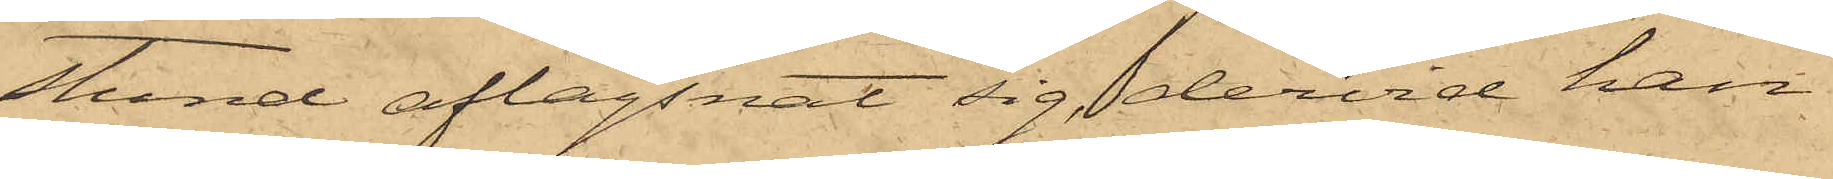stund aflägsnat sig, dervid han
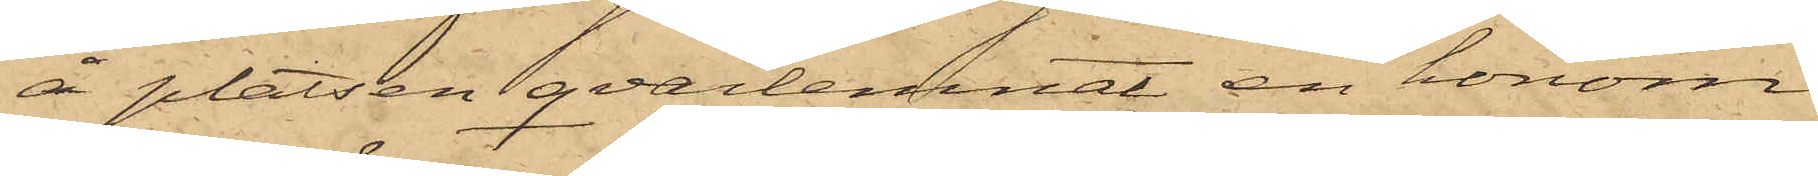å platsen qvarlemnat en honom
